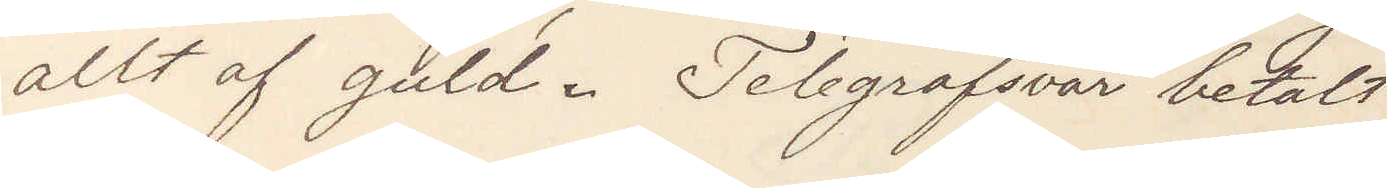allt af guld. Telegrafsvar betalt
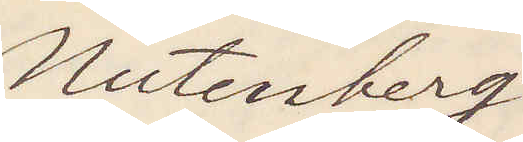Nutenberg
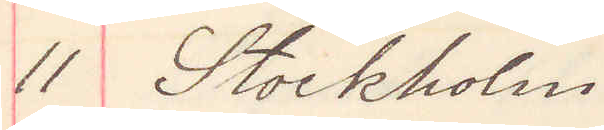11 Stockholm
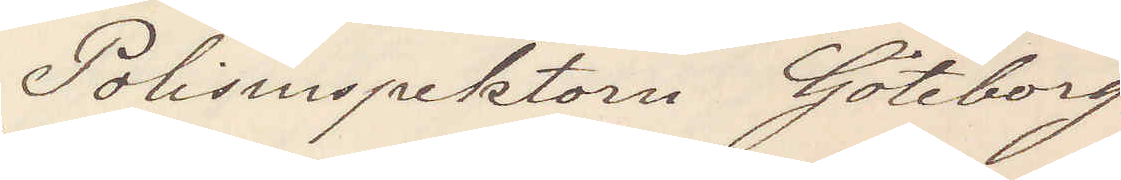Polisinspektorn Göteborg
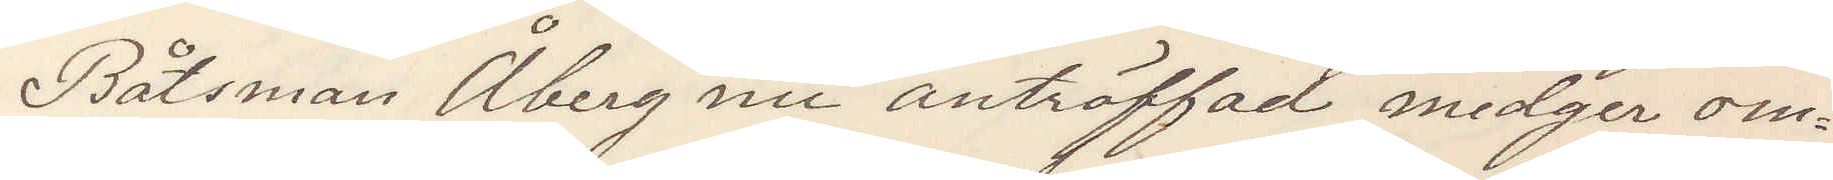Båtsman Åberg nu anträffad medger om¬
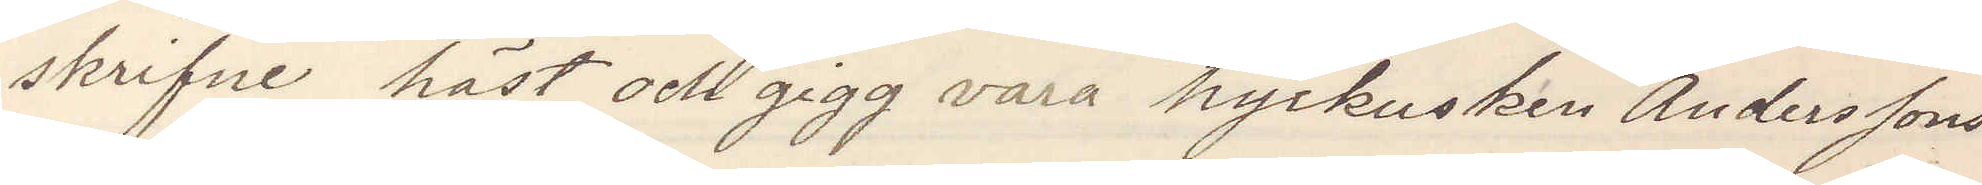skrifne häst och gigg vara hyrkusken Anderssons
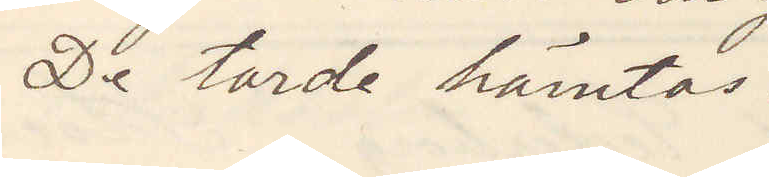De torde hämtas.
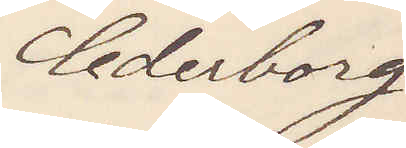Cederborg
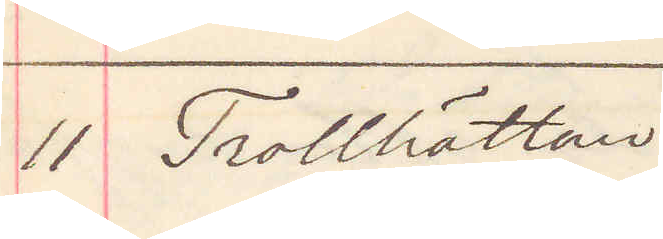11 Trollhättan
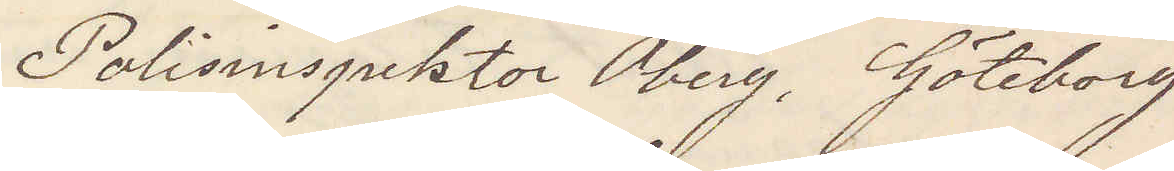Polisinspektor Öberg, Göteborg
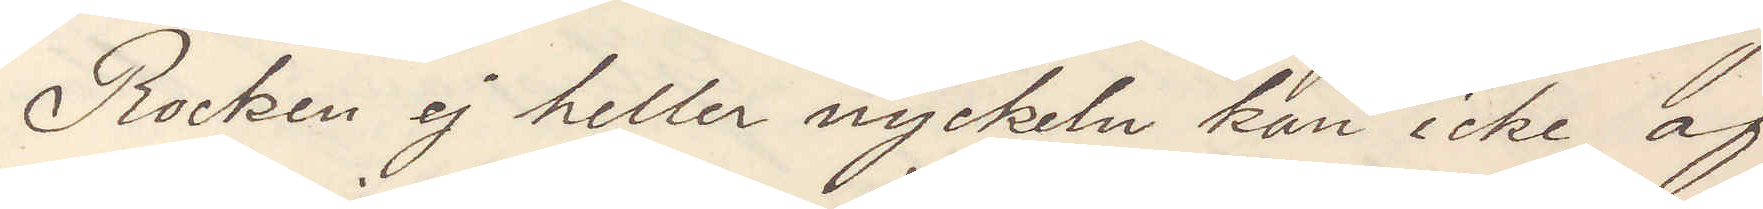Rocken ej heller nyckeln kan icke af
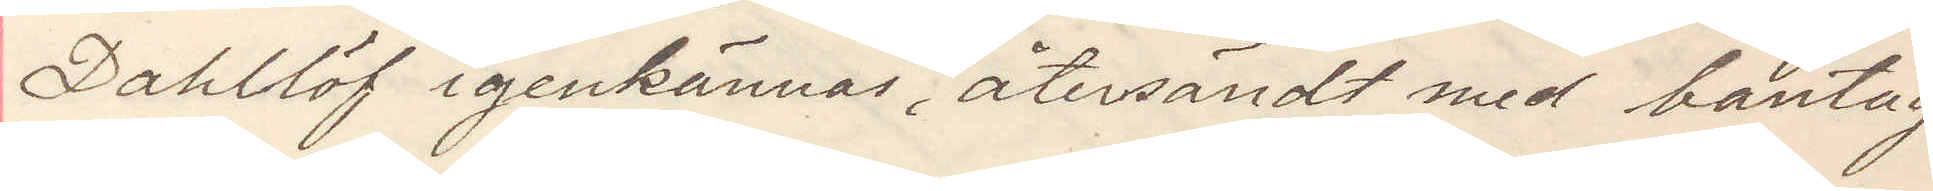Dahllöf igenkännas återsändt med bantåg
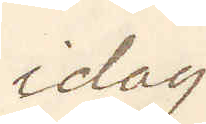idag
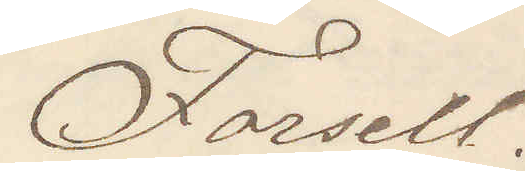Forsell.
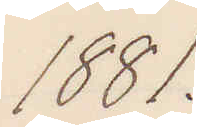1881.
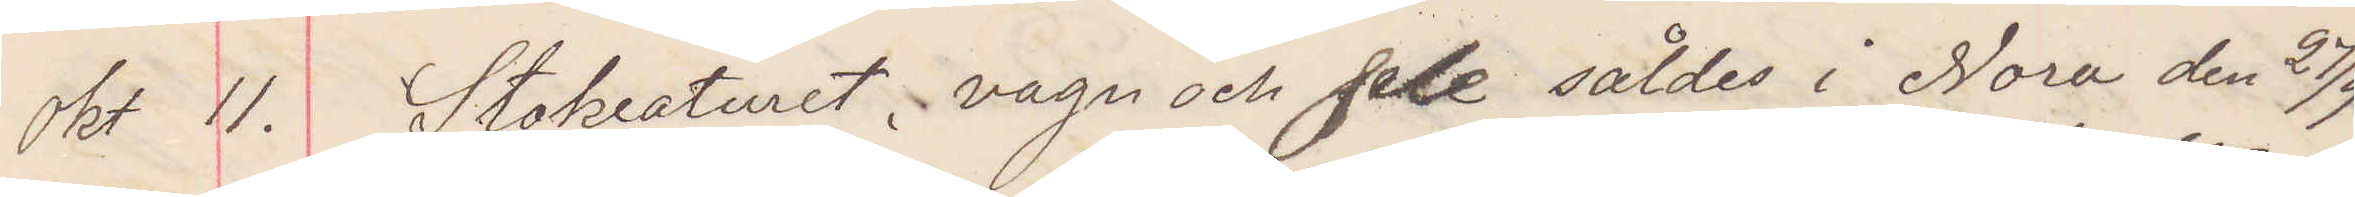Okt 11. Stokreaturet, vagn och sele såldes i Nora den 27/9
